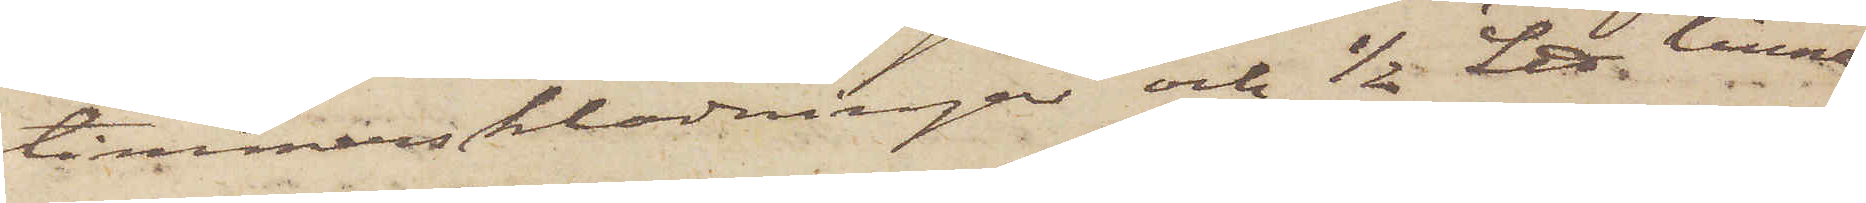timmersklädningar och 1/2 L℔ linne¬
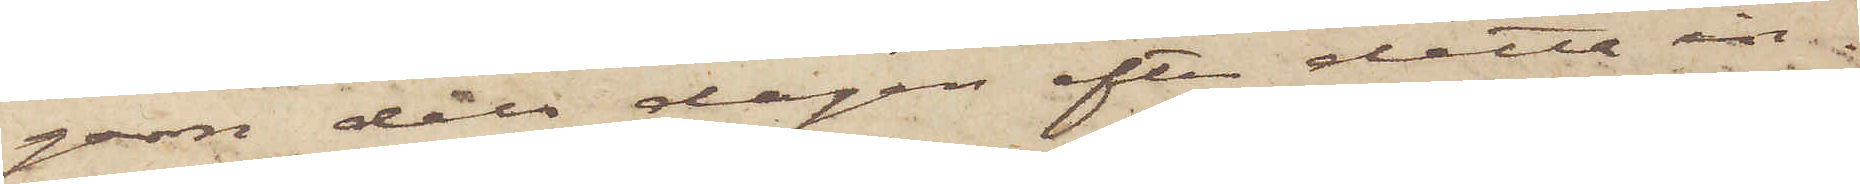garn dels dagen efter detta in¬
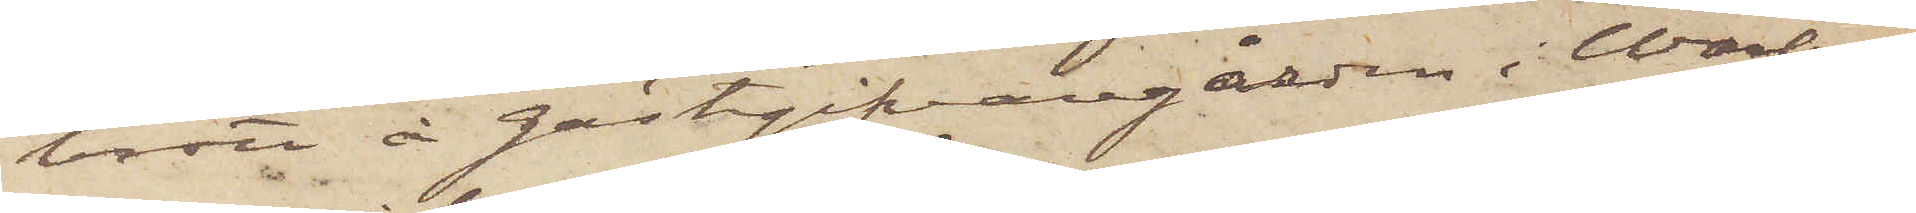brott å gästgifvaregården i Warberg
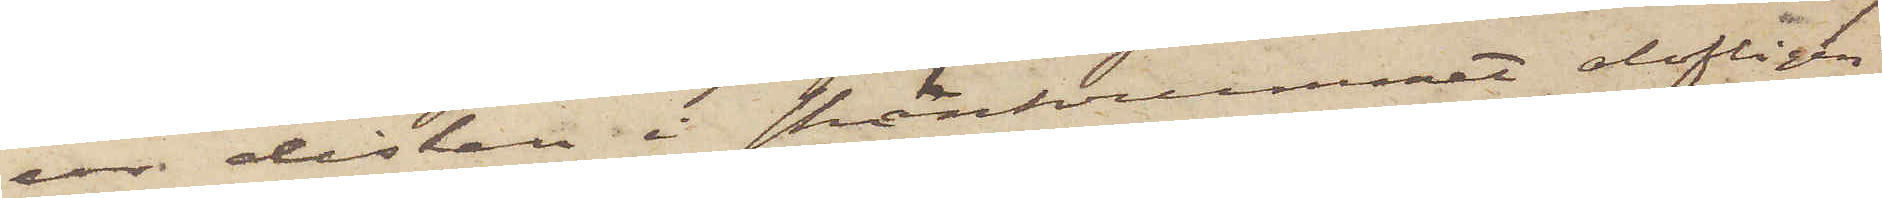ur disken i skänkrummet olofligen
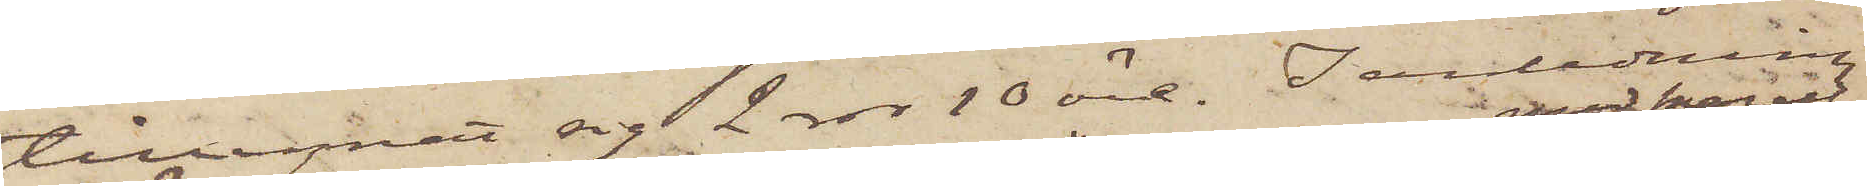tillegnat sig 2 rdr 10 öre. I anledning
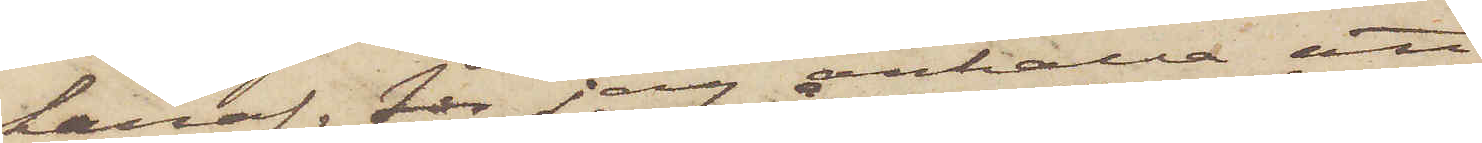häraf för jag anhålla att
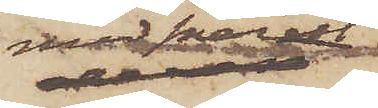med snarast
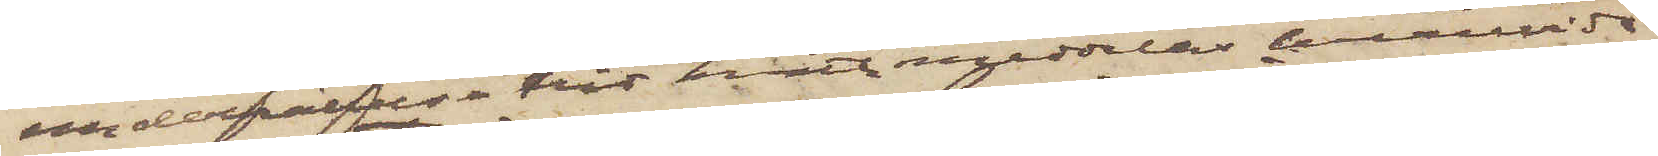underrättelse hit måtte meddelas huruvida
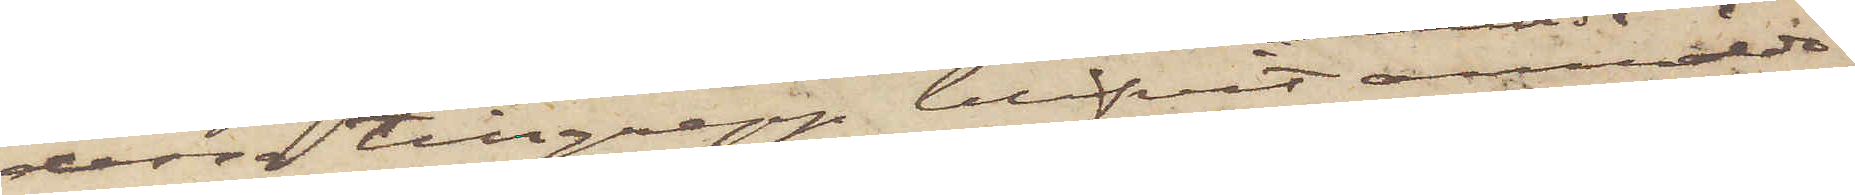dessa tillgrepp blifvit anmälda
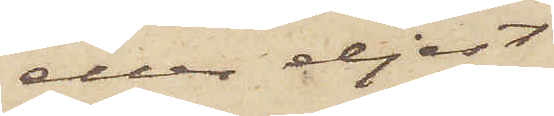eller eljest
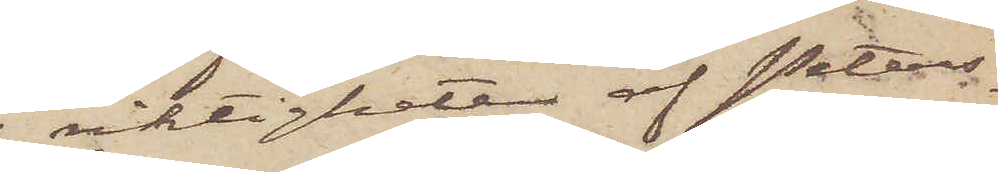riktigheten af Peters¬
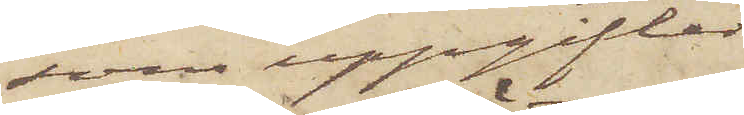sons uppgifter
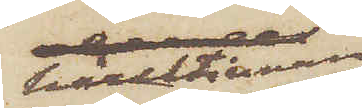härutinnan
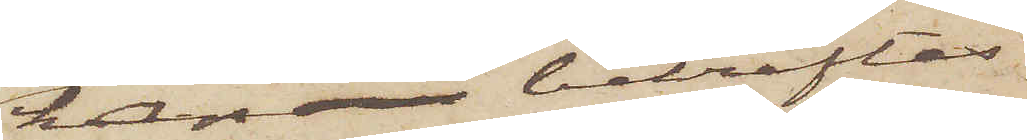kan bekräftas
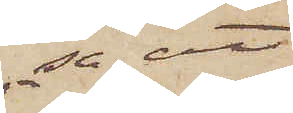, så att
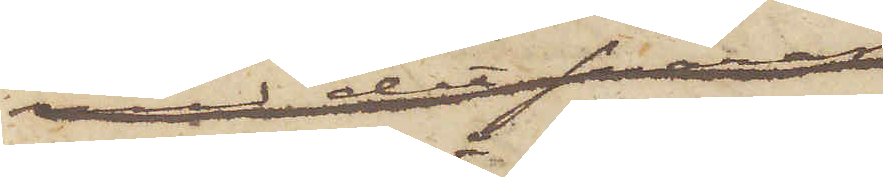han må kunna
